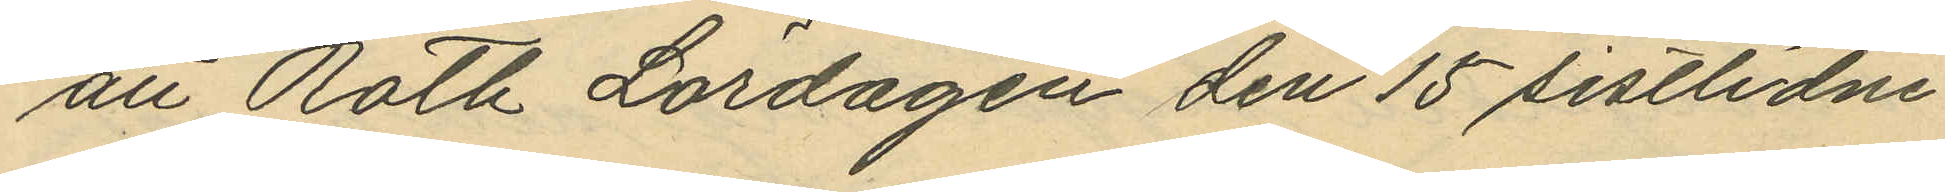att Roth Lördagen den 15 sistlidne
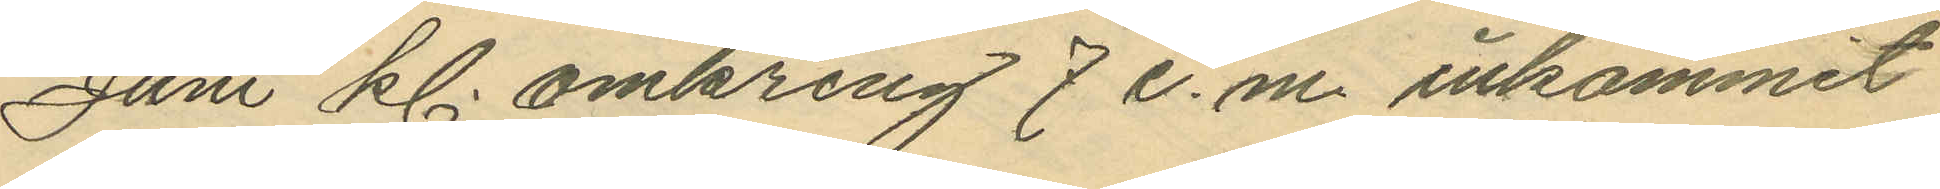Juni kl. omkring 7 e. m. inkommit
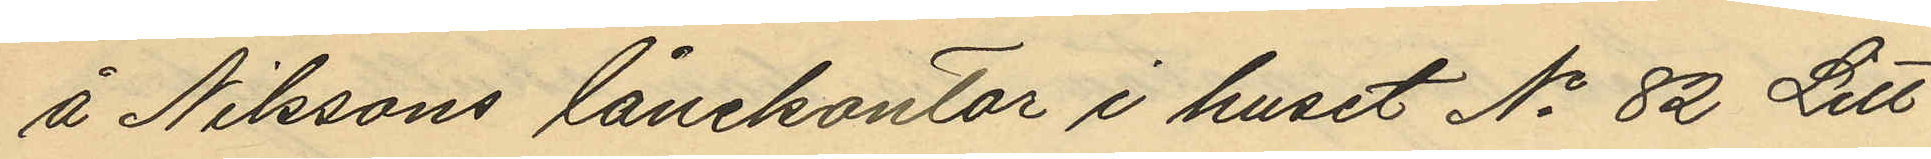å Nilssons lånekontor i huset No 82 Litt
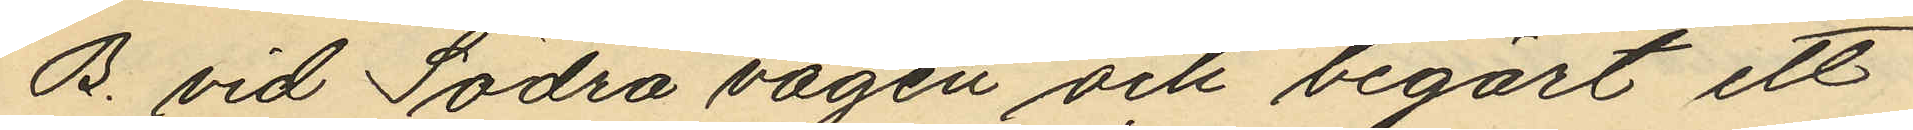B. vid Södra vägen och begärt ett
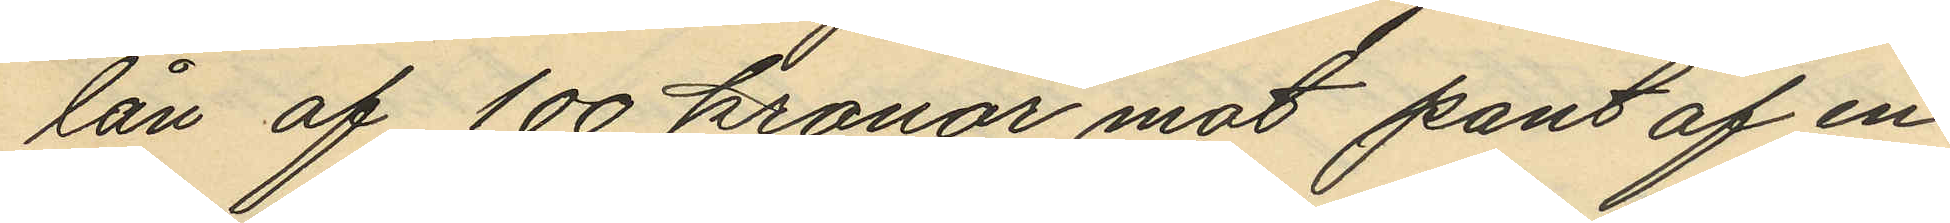lån af 100 kronor mot pant af en
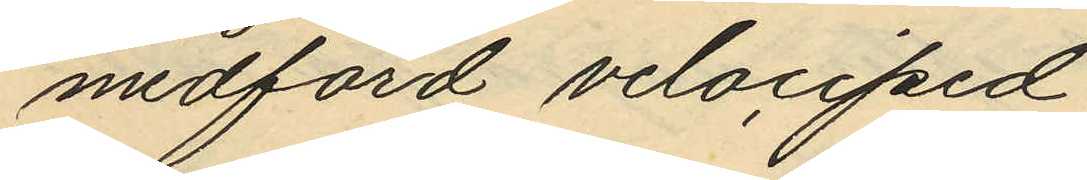medförd velociped
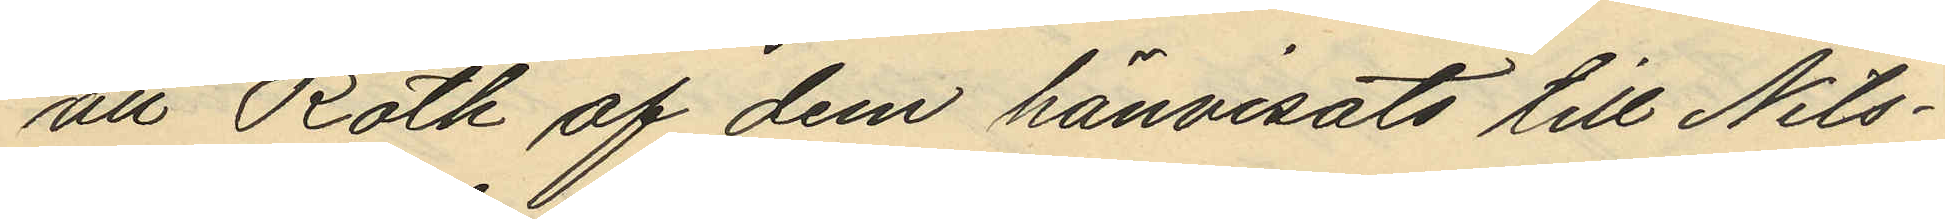att Roth af dem hänvisats till Nils¬
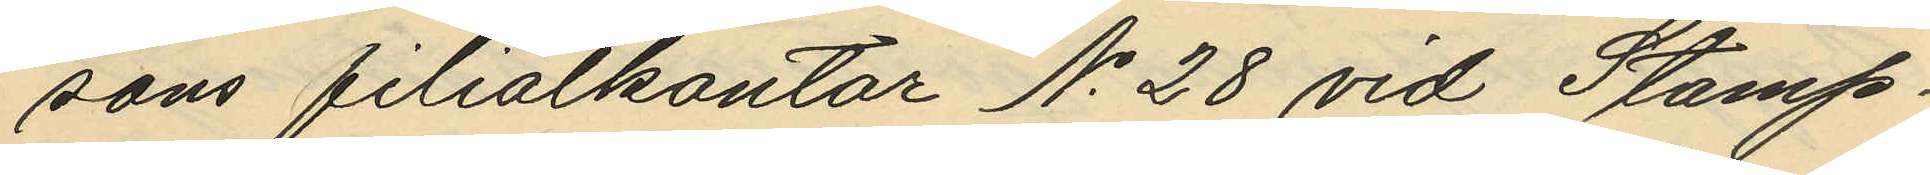sons filialkontor No 28 vid Stamp¬
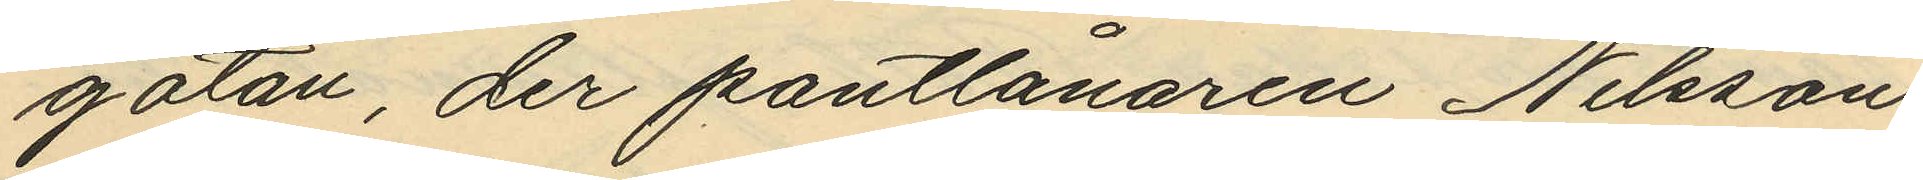gatan, der pantlånaren Nilsson
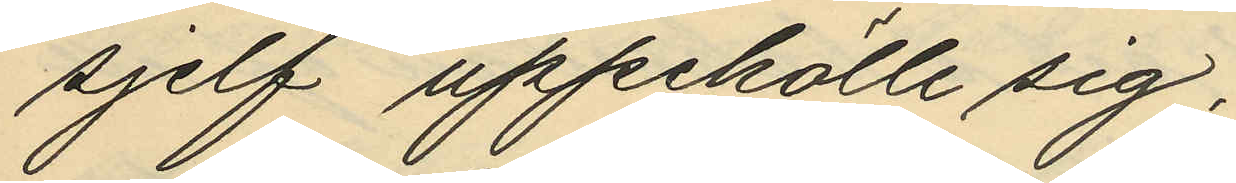sjelf uppehöll sig;
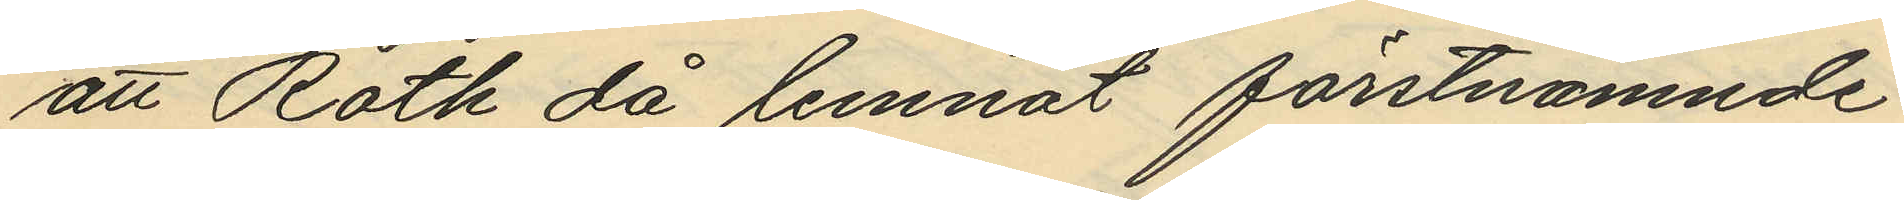att Roth då lemnat förstnämnde
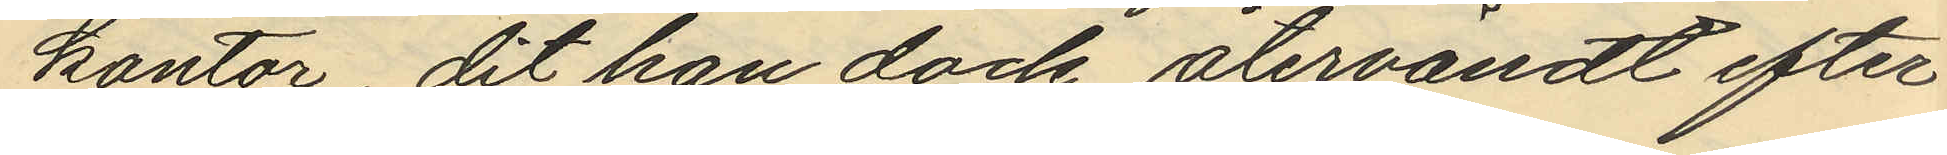kontor, dit han dock återvändt efter
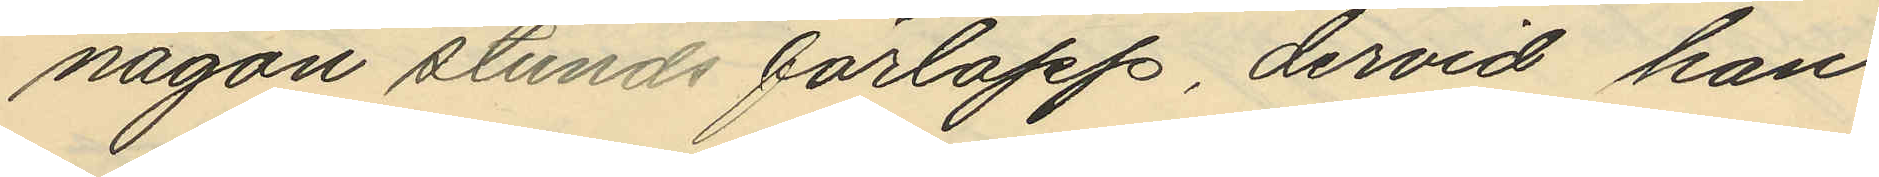någon stunds förlopp, dervid han
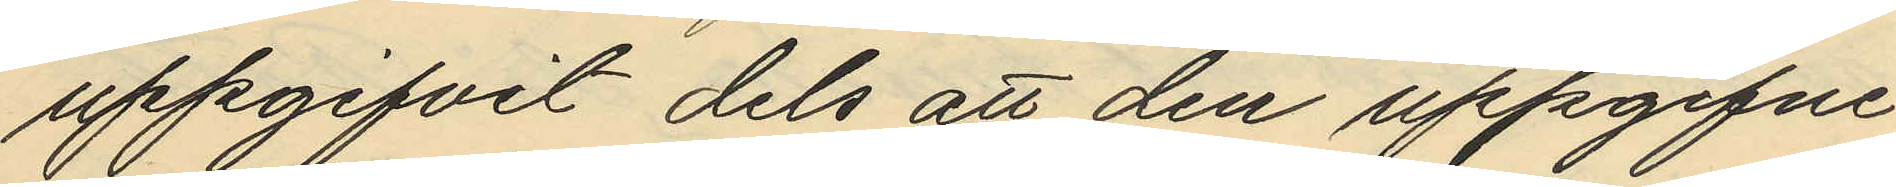uppgifvit dels att den uppgifne
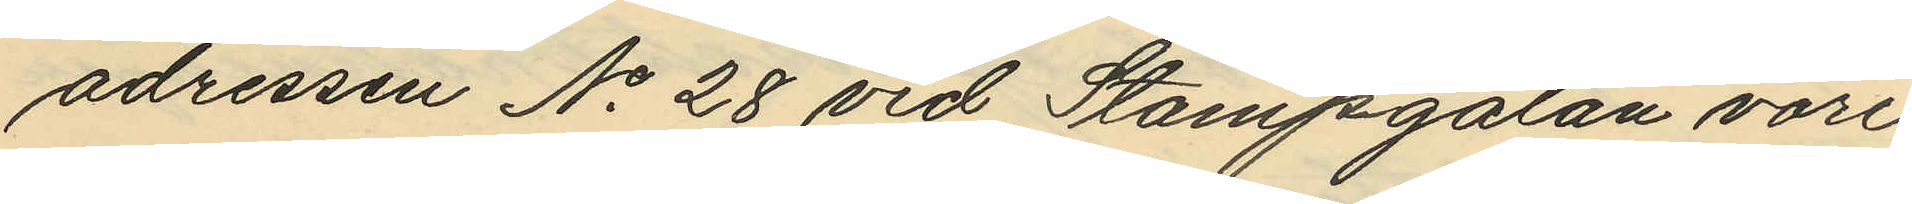adrissen No 28 vid Stampgatan vore
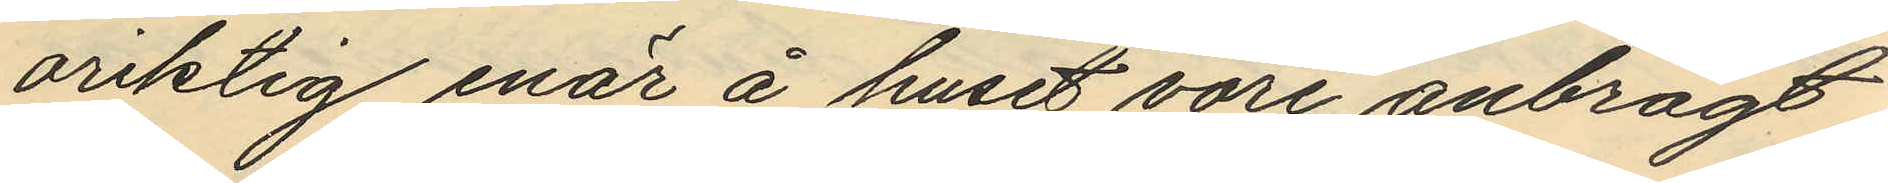oriktig enär å huset vore anbragt
